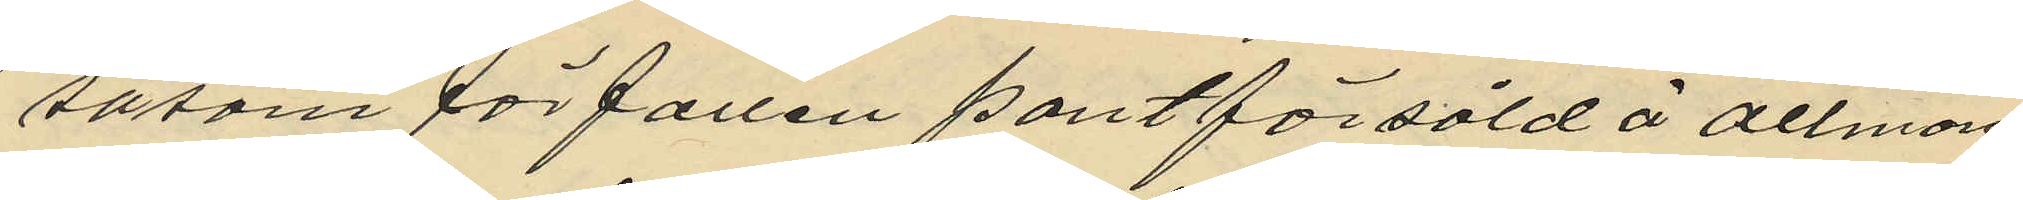såsom förfallen pantförsåld å allmän
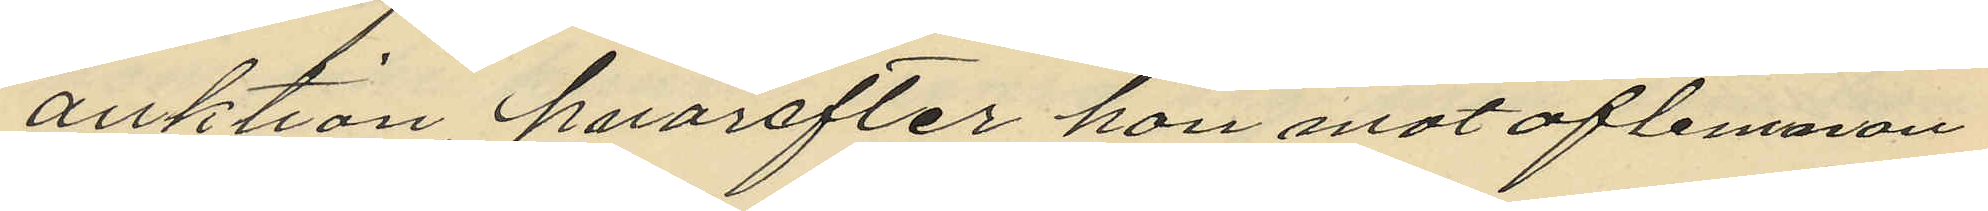auktion hvarefter hon mot aflemnan¬
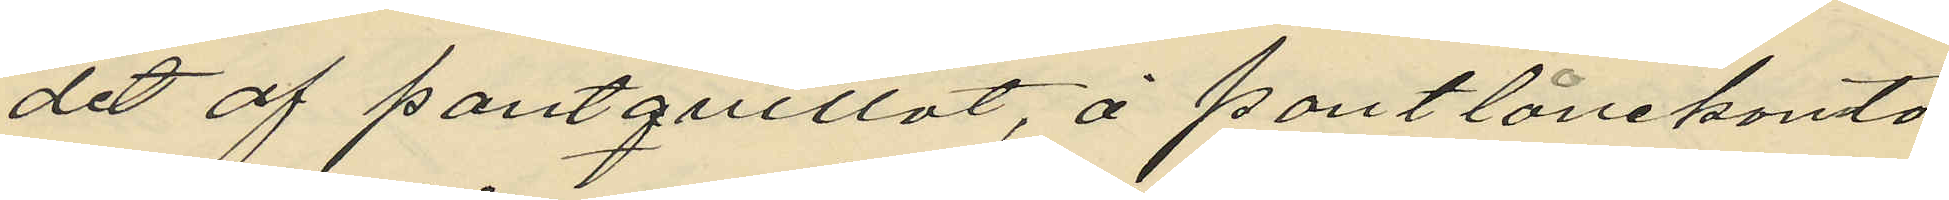det af pantquittot, å pantlånekonto¬
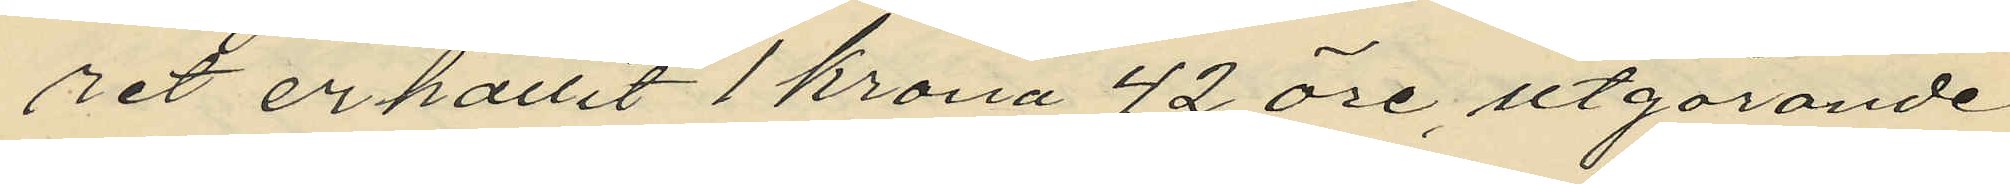ret erhållit 1 krona 42 öre, utgörande
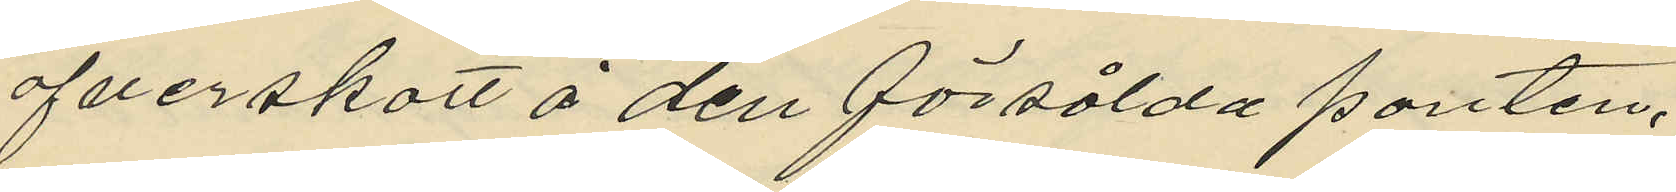öfverskott å den försålda panten.
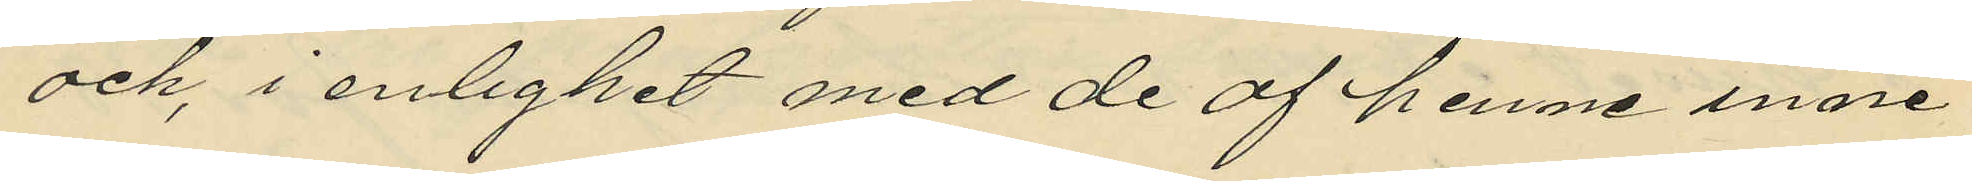och, i enlighet med de af henne inne¬
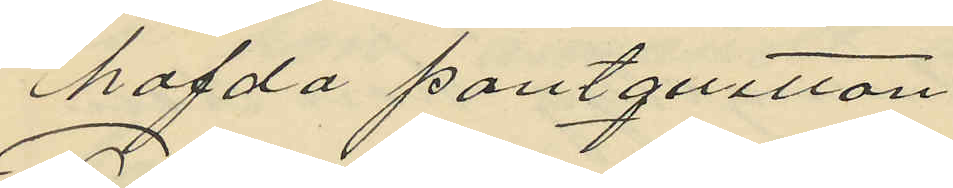hafda pantquitton.
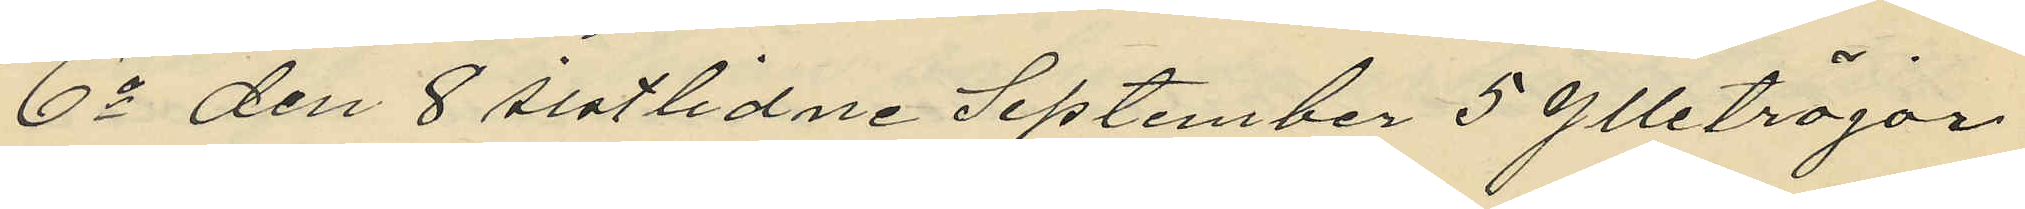6o den 8 sistlidne September 5 ylletröjar
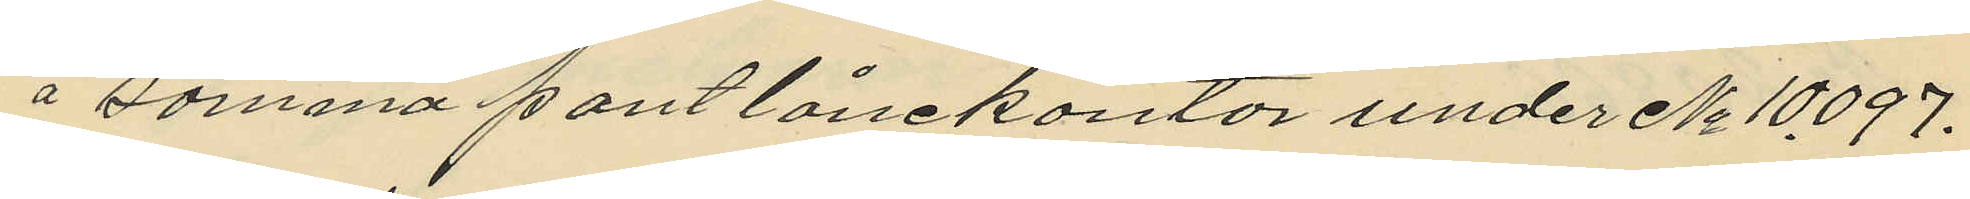å samma pantlånekontor under No 10097.
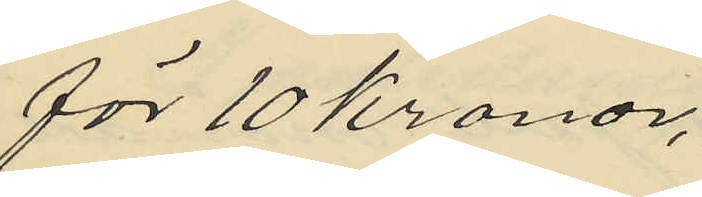för 10 kronor,
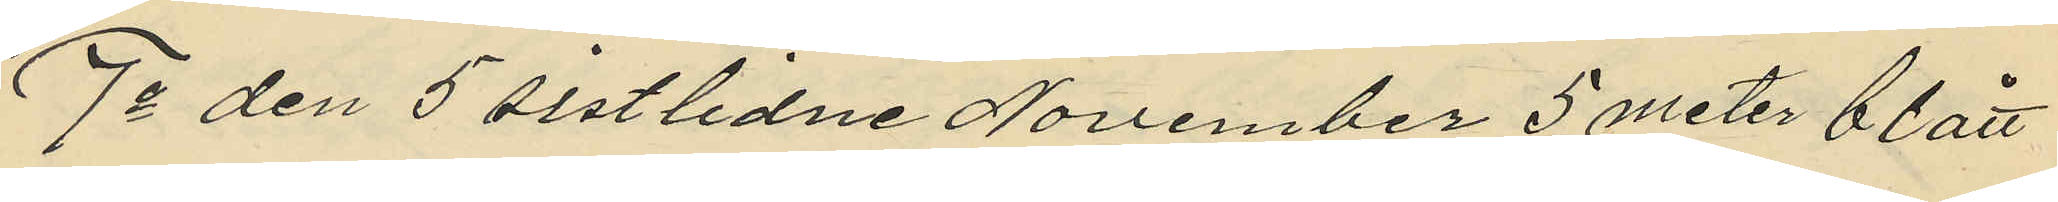7o den 5 sistlidne November 5 meter blått
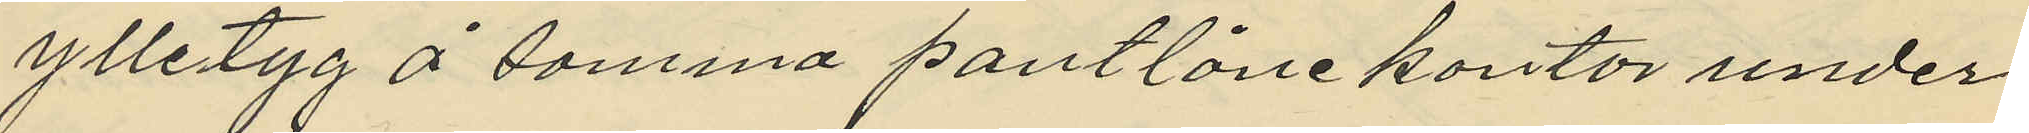ylletyg å samma pantlånekontor under
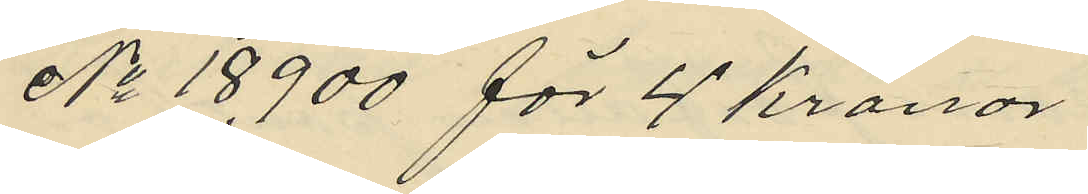No 18900 för 4 kronor
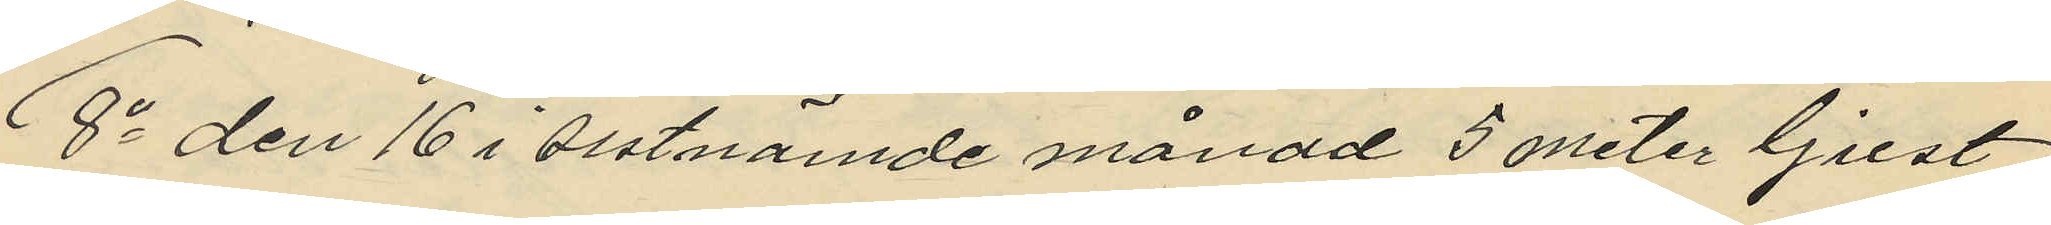8o den 16 i sistnämde månad 5 meter ljust
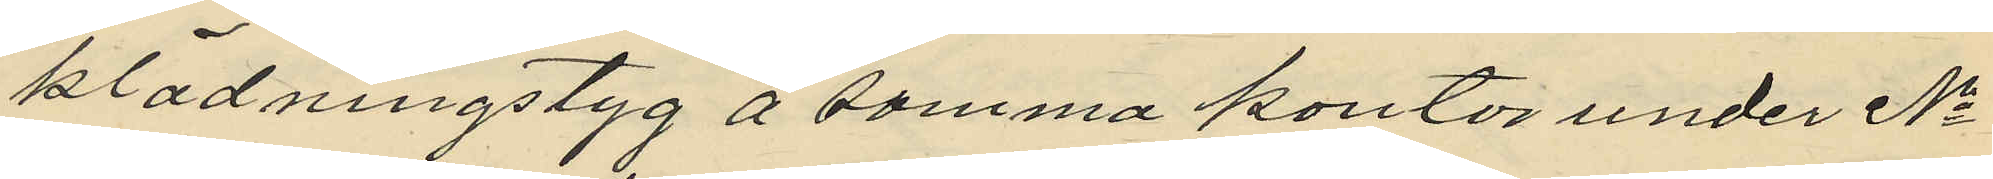klädningstyg å samma kontor under No
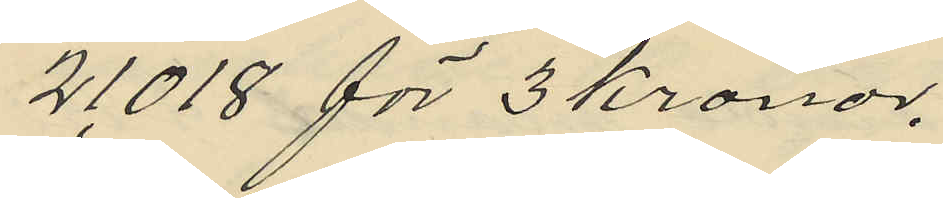21018 för 3 kronor,
